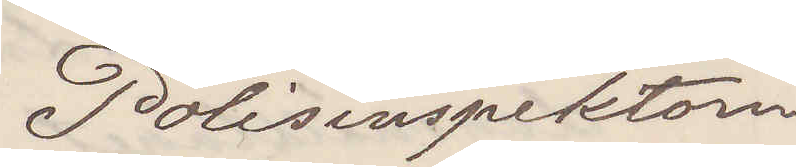Polisinspektorn
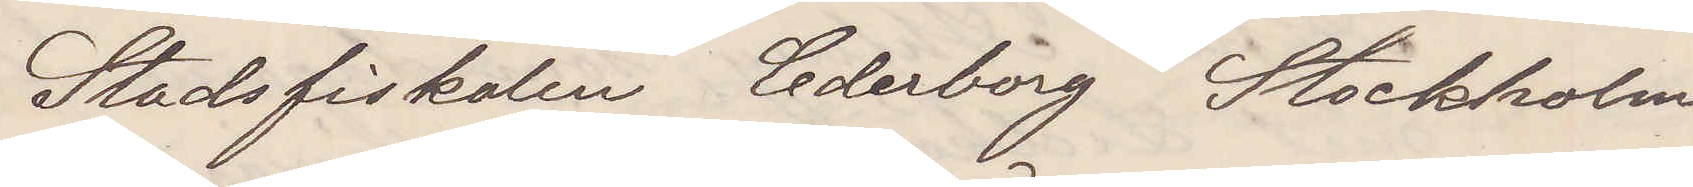Stadsfiskalen Cederborg Stockholm
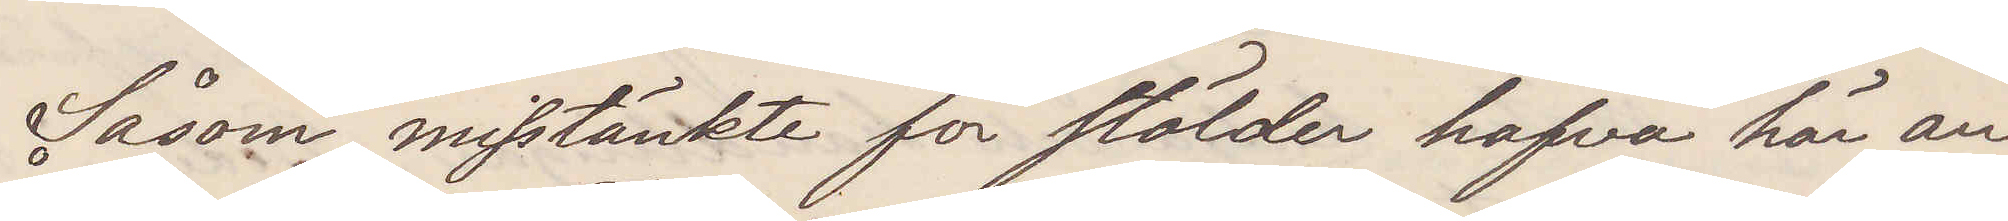Såsom misstänkte för stölder hafva här an¬
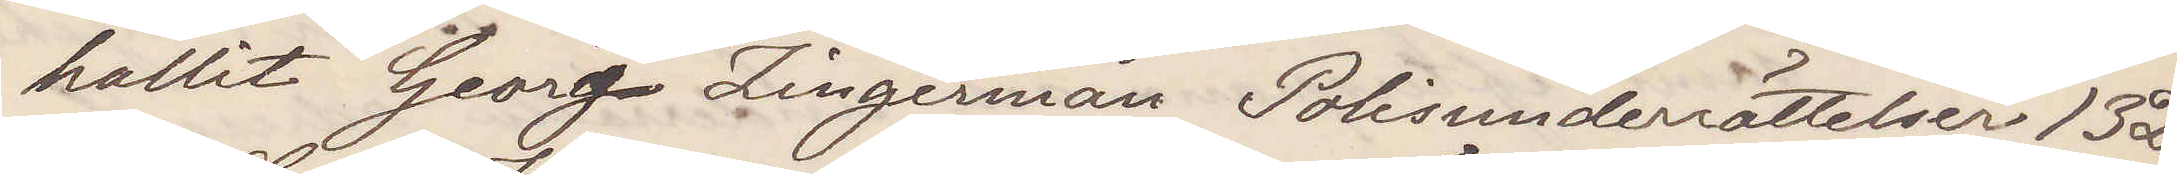hallits Georg Zingerman Polisunderrättelser 13 D.
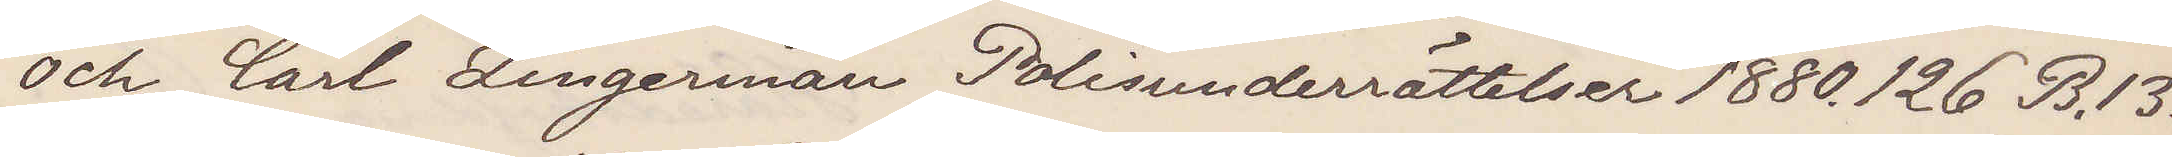och Carl Zingerman Polisunserrättelser 1880 126 B. 13.
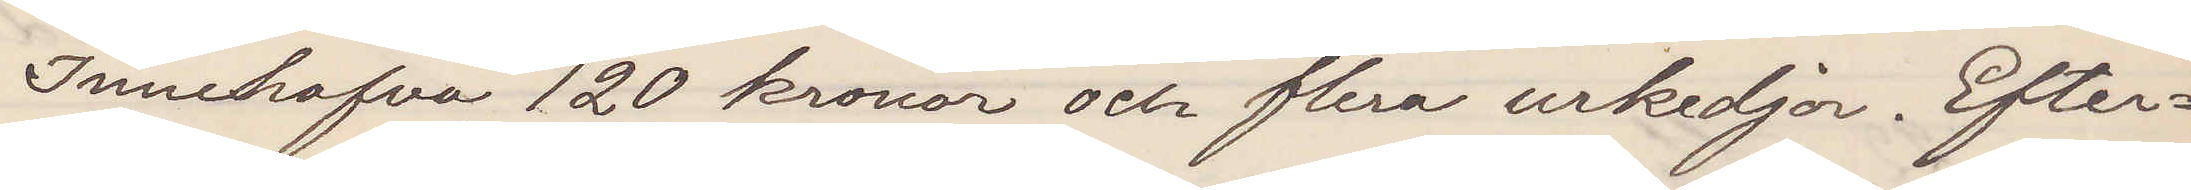Innehafva 120 kronor och flera urkedjor. Efter¬
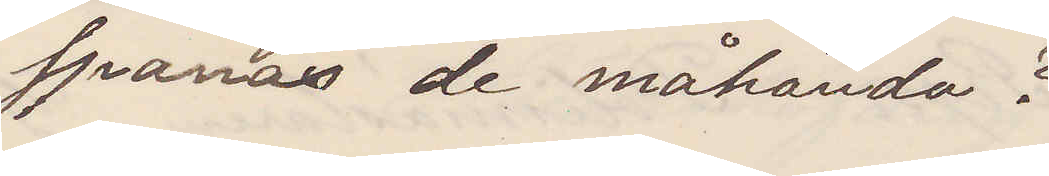spanas de måhända?
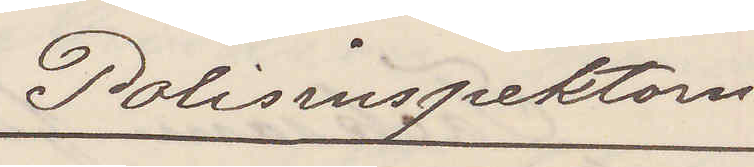Polisinspektorn
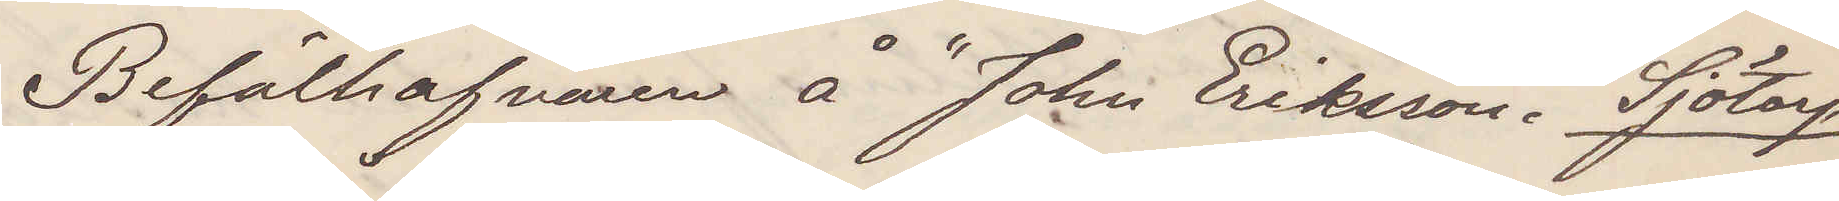Befälhafvaren å "John Eriksson". Sjötorp
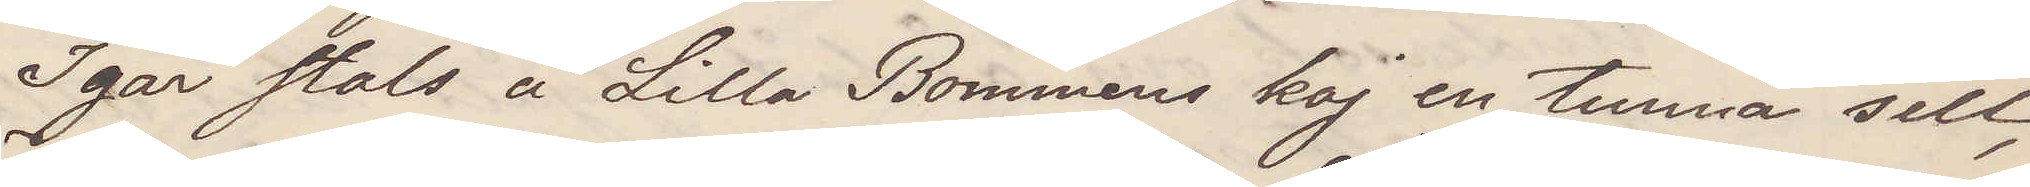Igår stals å Lilla Bommens kaj en tunna sill,
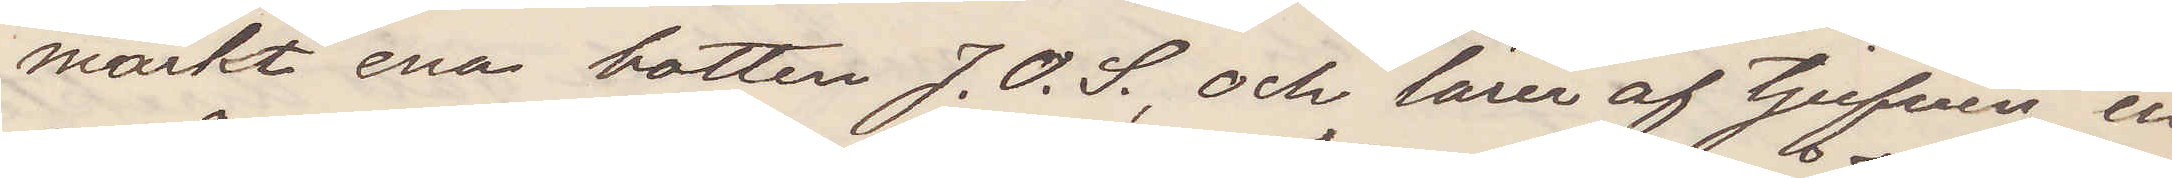märkt ena botten J. O. S., och lärer af tjufven en
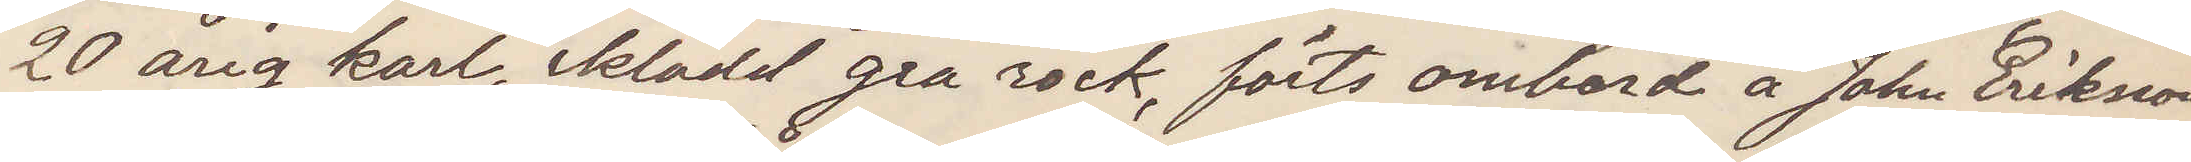20 årig karl, iklädd grå rock, förts ombord å John Eriksson
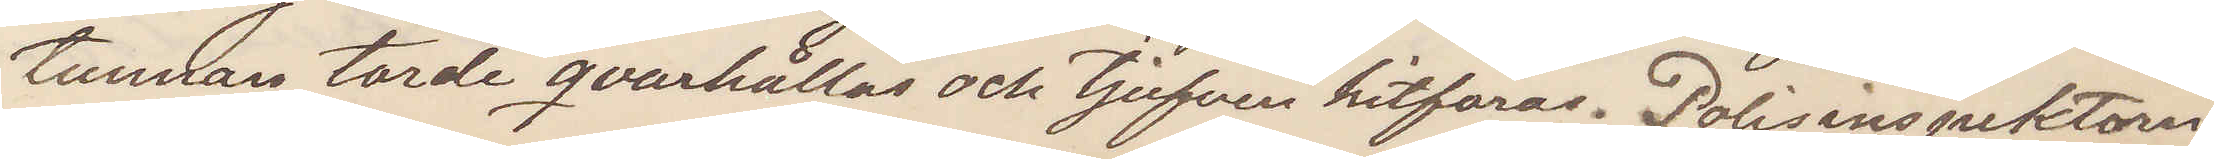Tunnan torde qvarhållas och tjufven hitföras. Polisinspektorn.
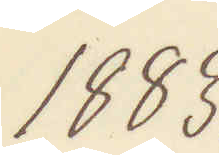1883.
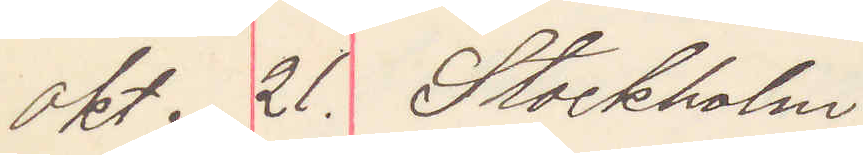okt. 21. Stockholm
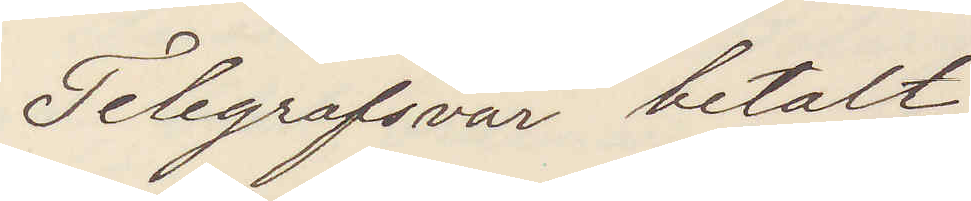Telegrafsvar betalt
